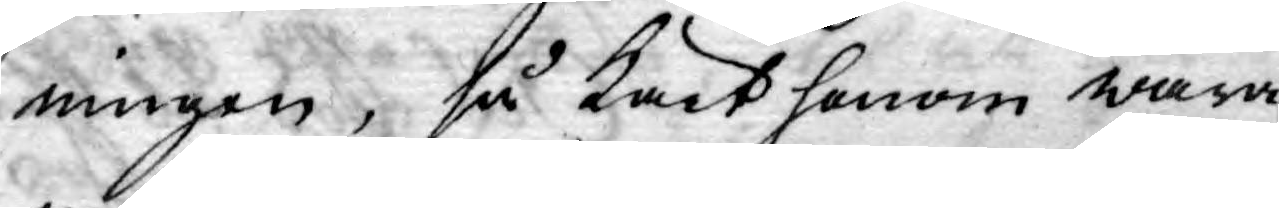ningen, så Kärt honom wara
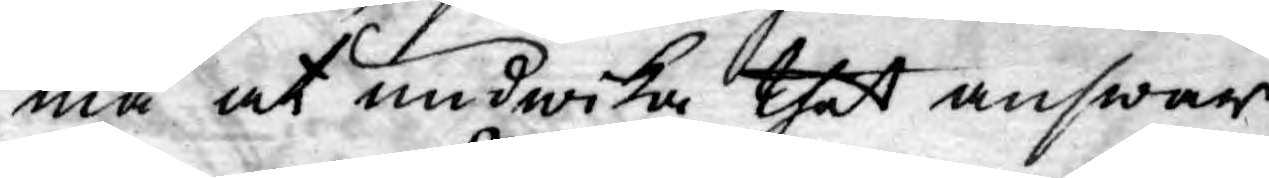må at undwika thet answar
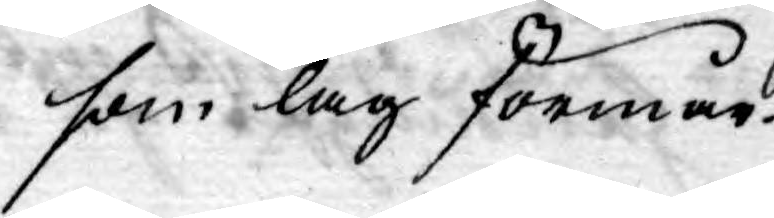som lag förmår.
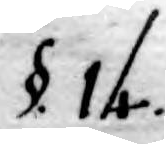§. 14.
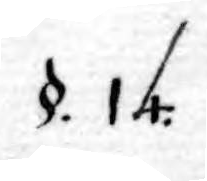§. 14.
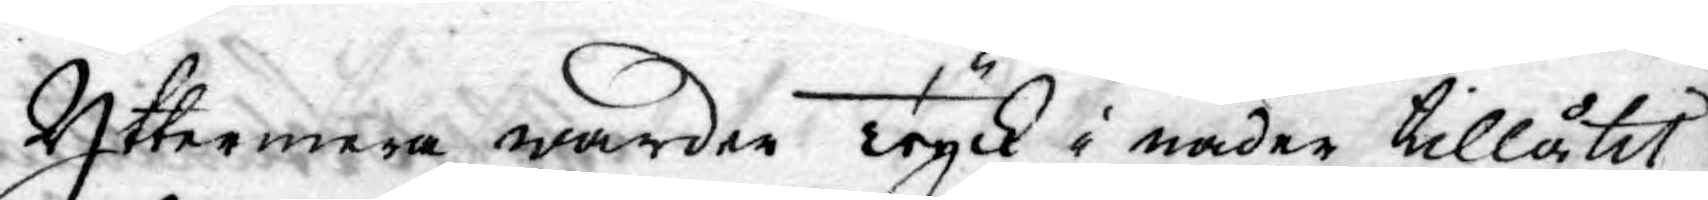Yttermera warder Tryck i nåder tillåtit
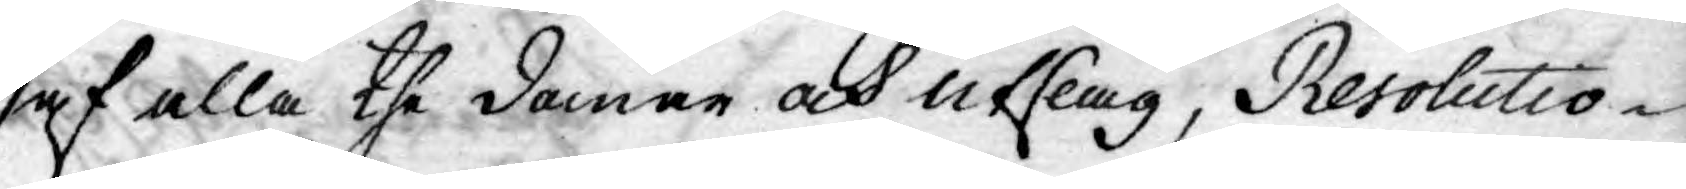af alla the domar och utslag, Resolutio¬
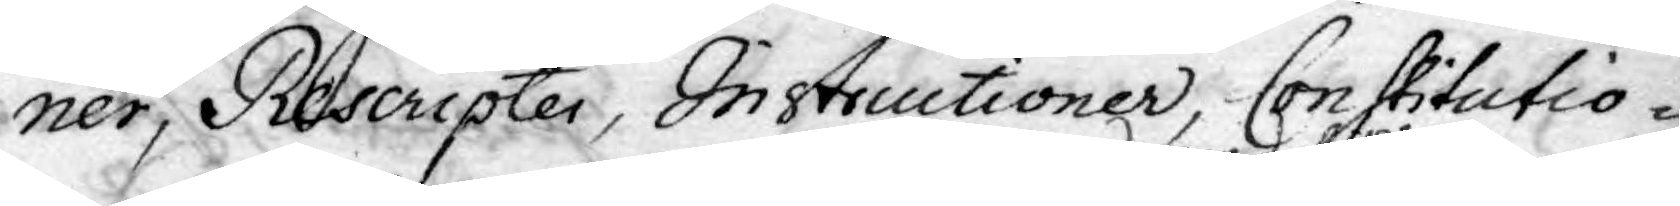ner, Rescripter, Instructioner, Constitutio¬
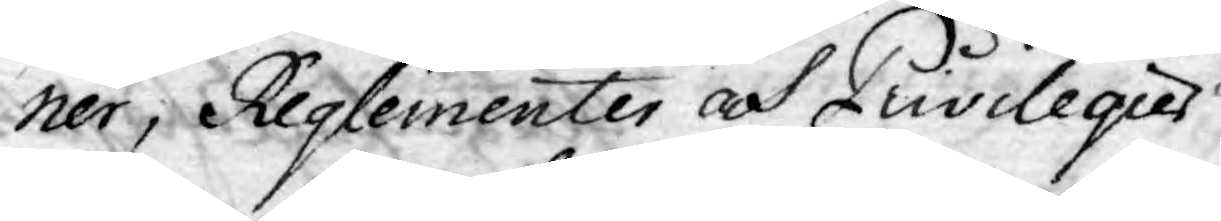ner, Reglementer och Privilegier
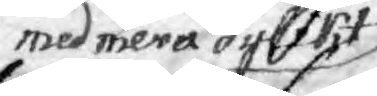med mera dylikt
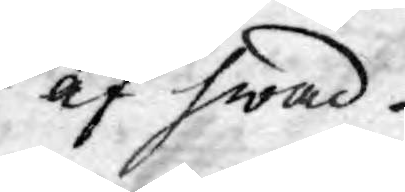af hwad
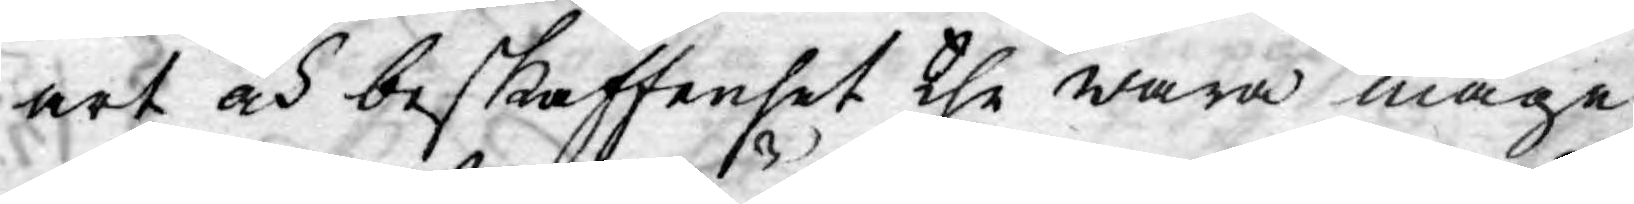art och beskaffenhet the wara måge,
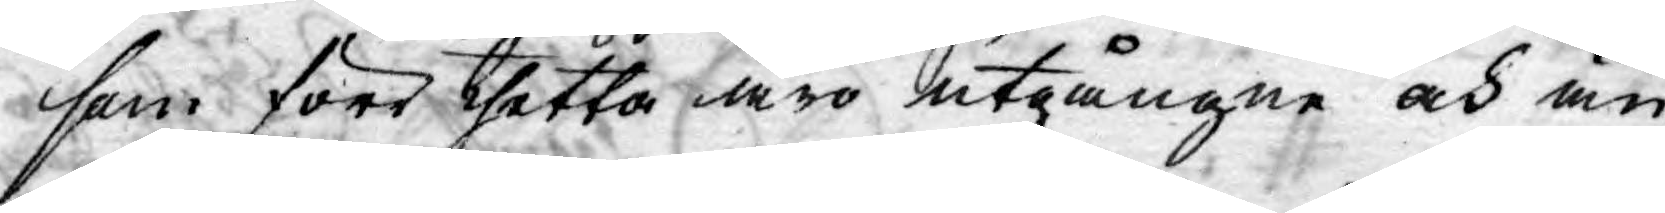som förr thetta äro utgångne och än
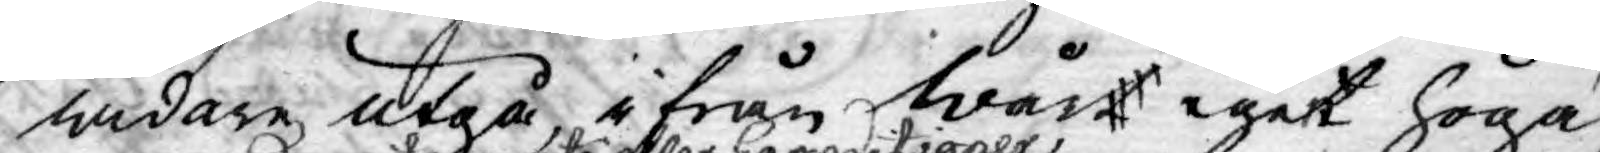widare utgå, ifrån Wårt eget höga
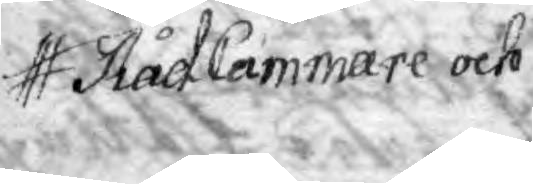RådCammare och
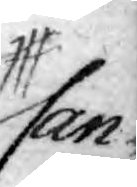Can¬
